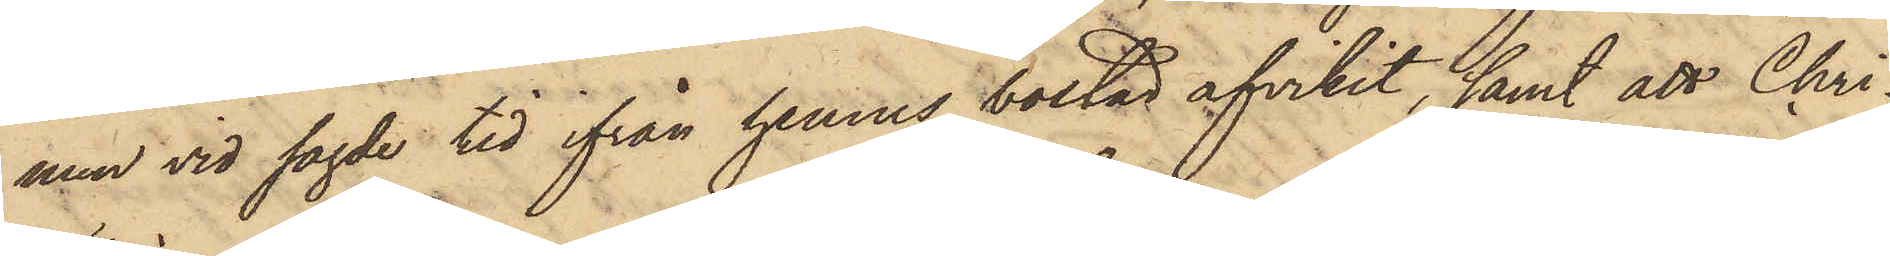men vid sagde tid ifrån hennes bostad afvikit, samt att Chri¬
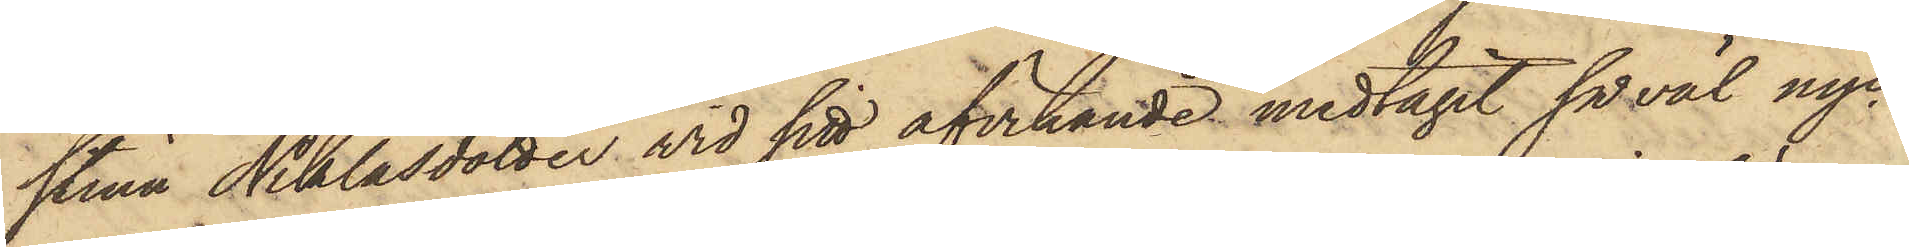stina Niklasdotter wid sitt afvikande medtagit såväl nyc¬
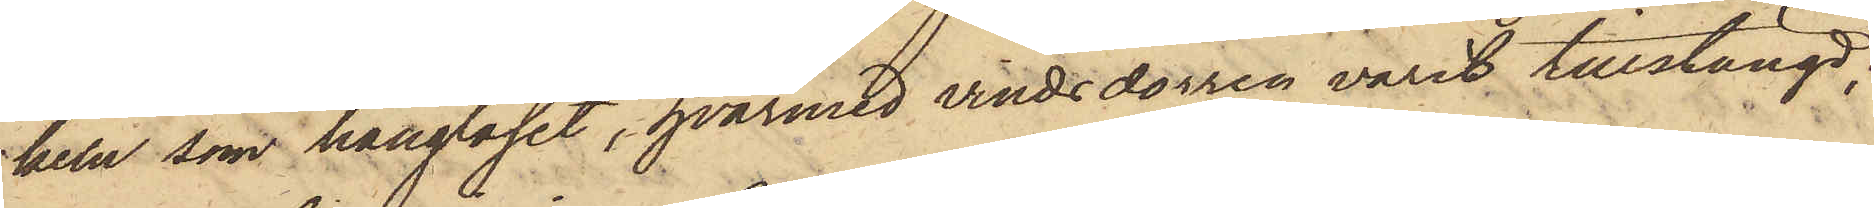keln, som hänglåset, hvarmed vindsdörren varit tillstängd;
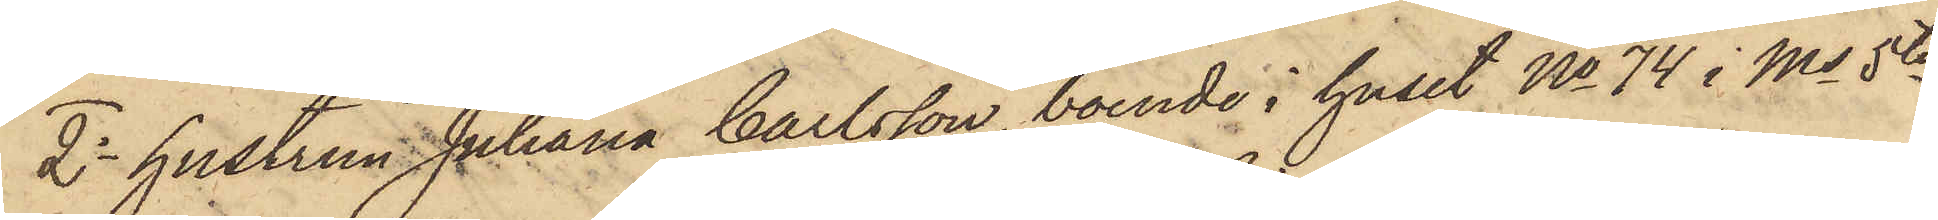2o hustrun Juliana Carlsson, boende i huset No 74 i Ms 5te
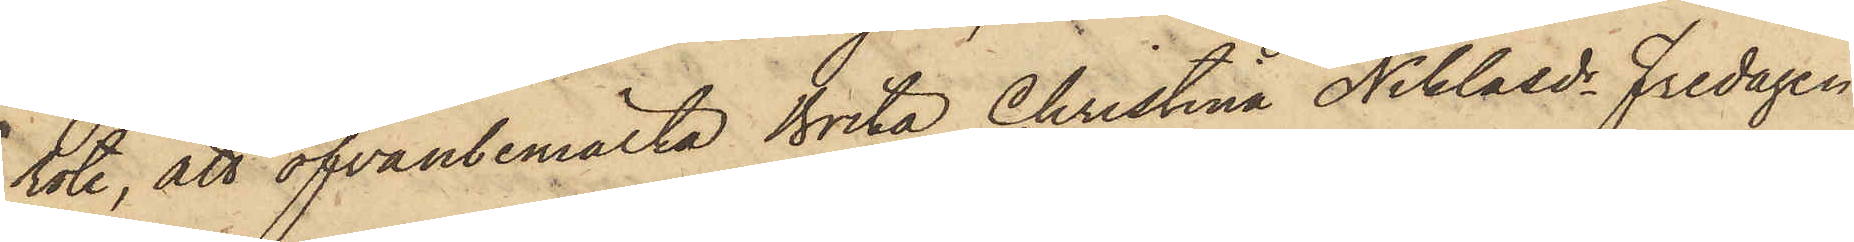rote, att ofvanbemälta Brita Christina Niklasdr Fredagen
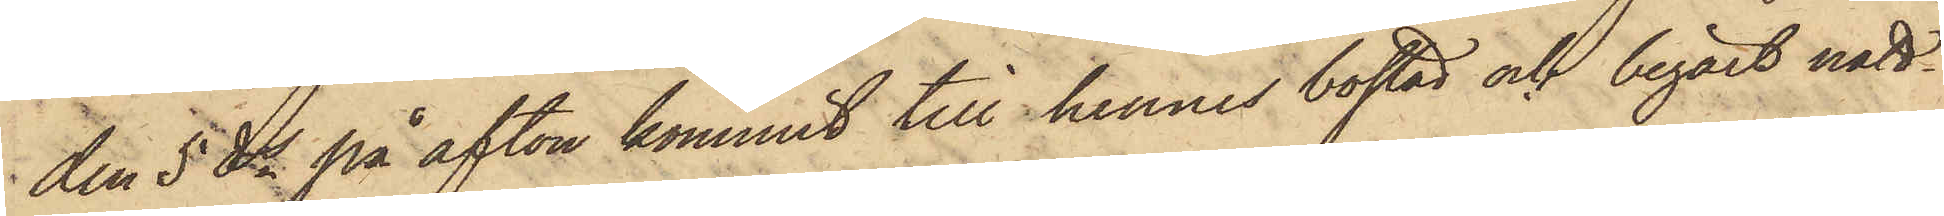den 5 ds på afton kommit till hennes bostad och begärt natt¬
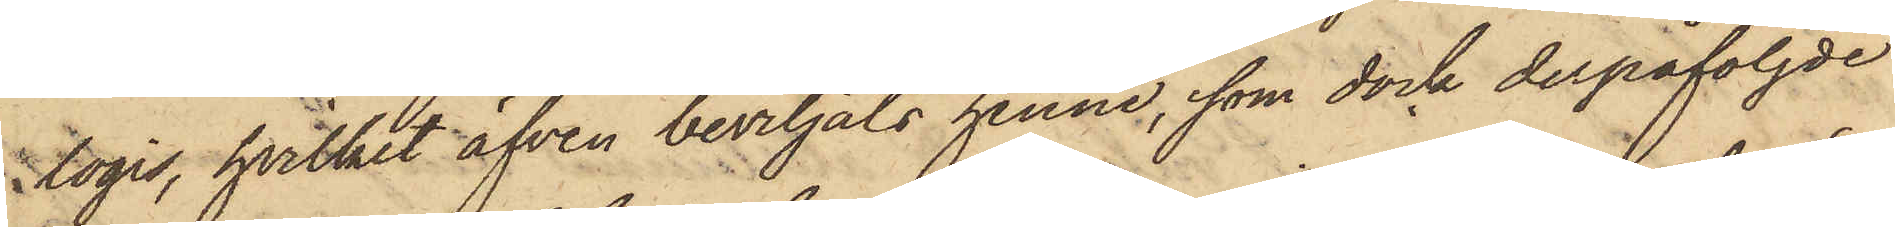logis, hvilket äfven beviljats henne, som dock derpåföljde
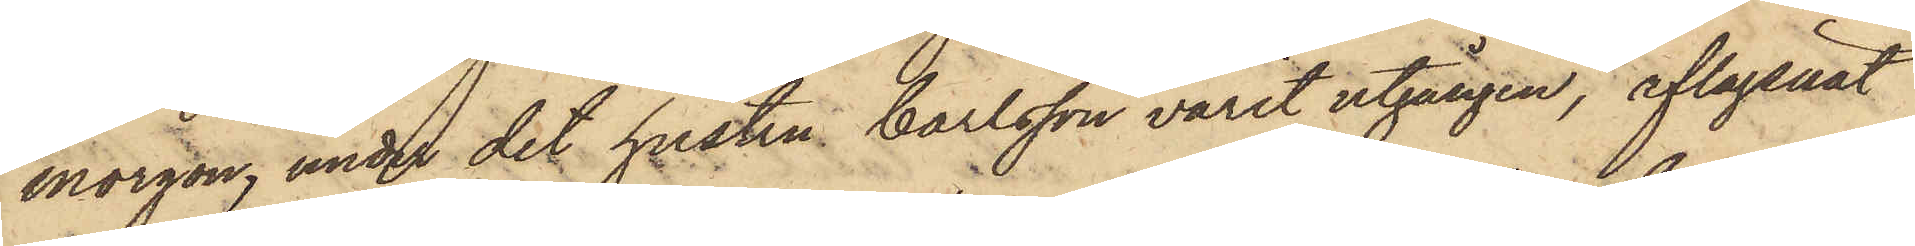morgon, under det hustru Carlsson varit utgången, aflägsnat
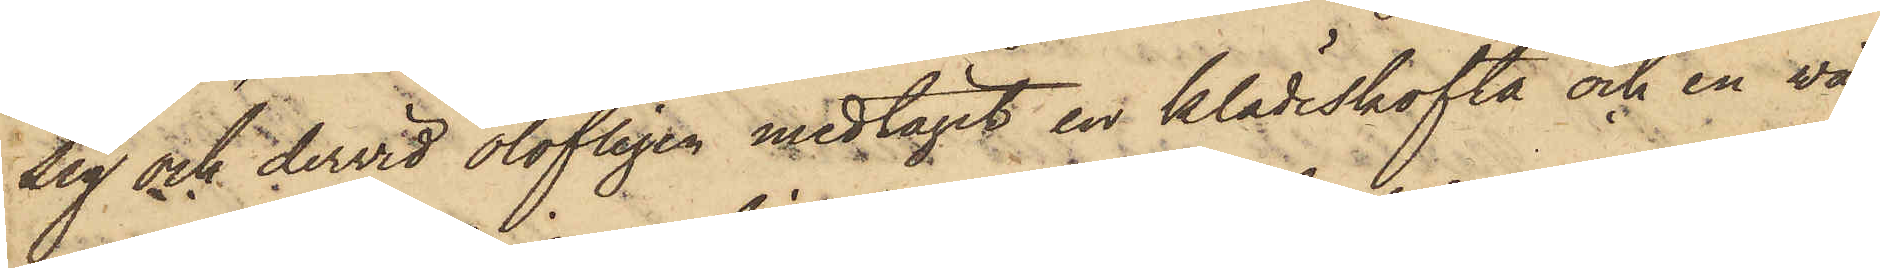sig och dervid olofligen medtagit en klädeskofta och en wä¬
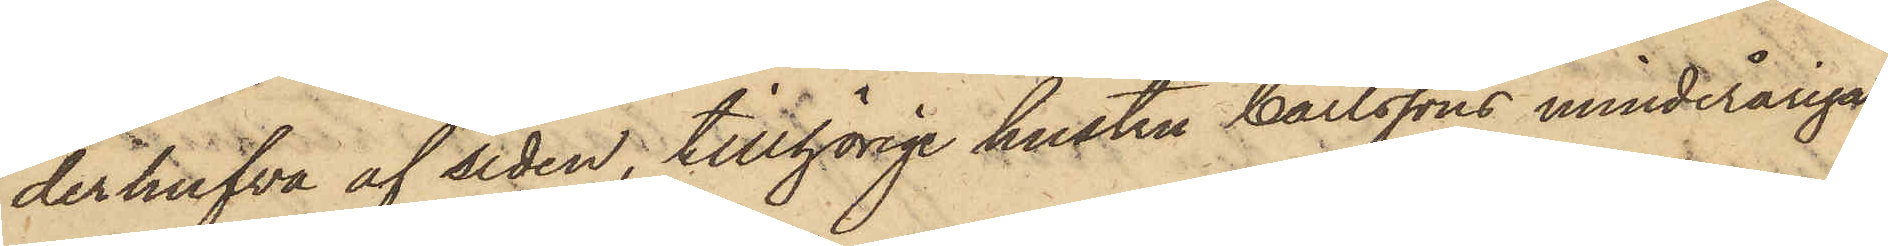derhufva af siden, tillhörige hustru Carlssons minderåriga
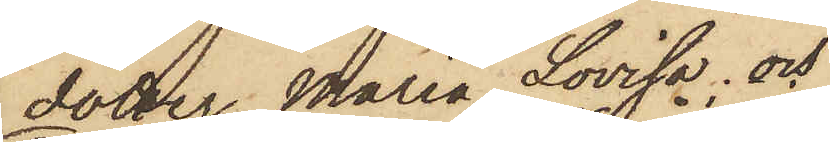dotter Maria Lovisa; och
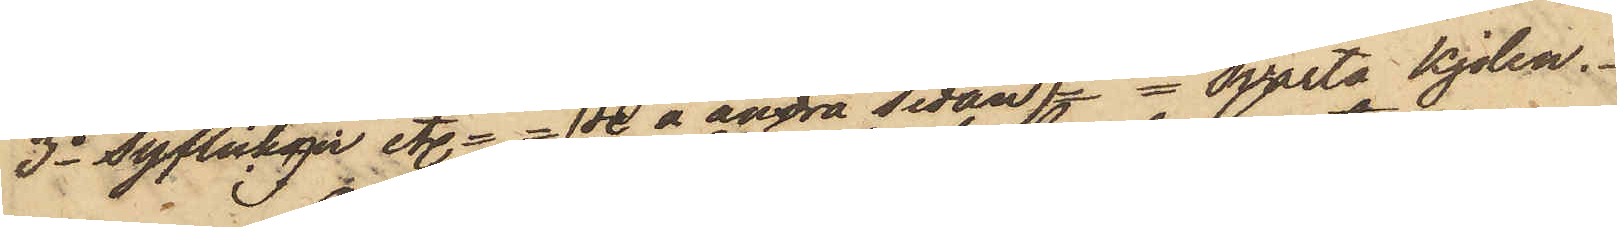3o Syflickan etc == ( Se å andra sidan ) == svarta kjolen.
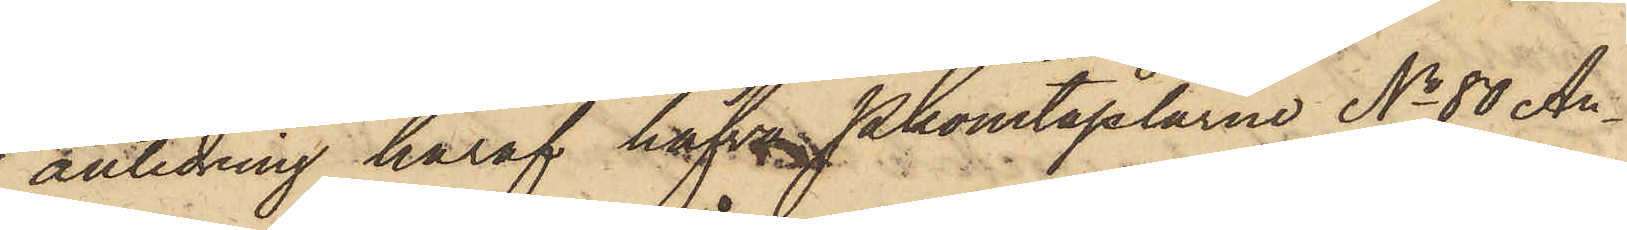I anledning häraf hafva Pkonstaplarne No 80 An¬
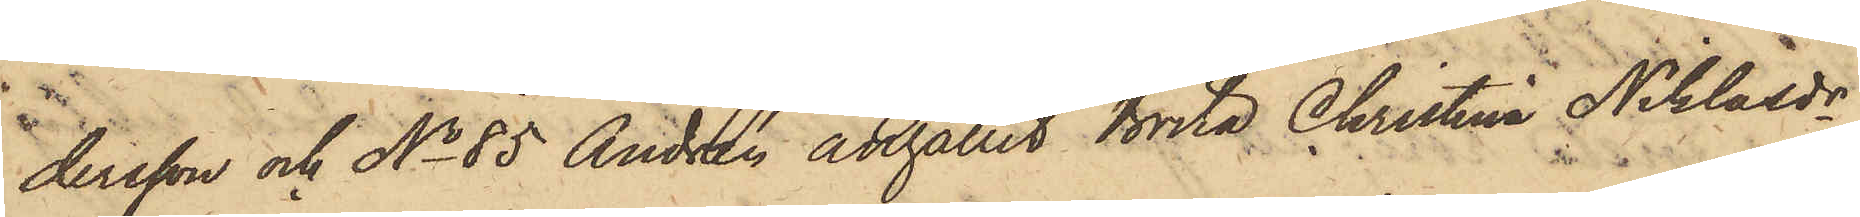dersson och No 85 Andrén anhållit Brita Christina Niklasdr,
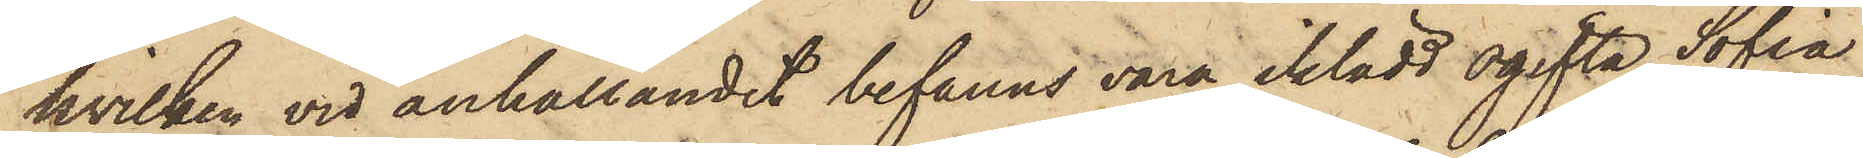hvilken vid anhållandet befanns vara iklädd ogifta Sofia
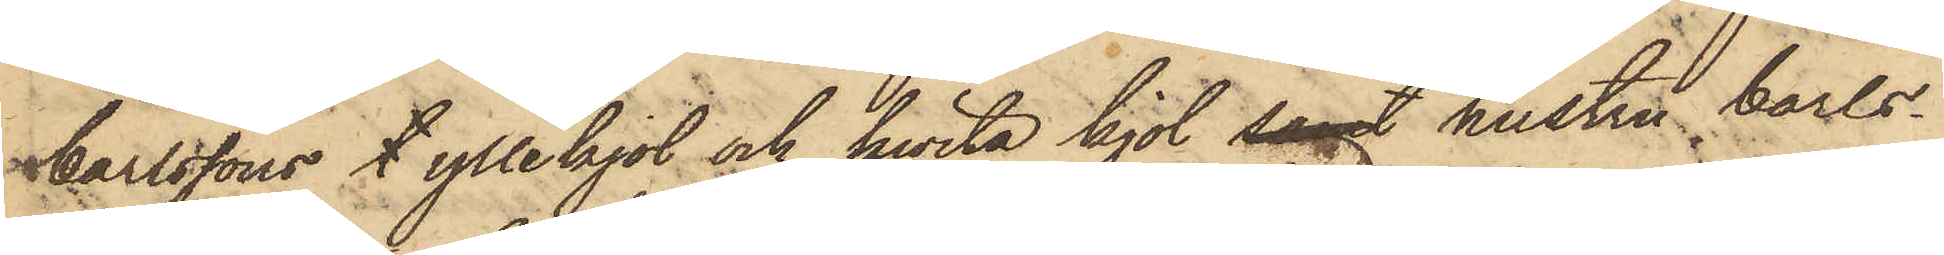Carlssons l yllekjol och hwita kjol samt hustru Carls¬
